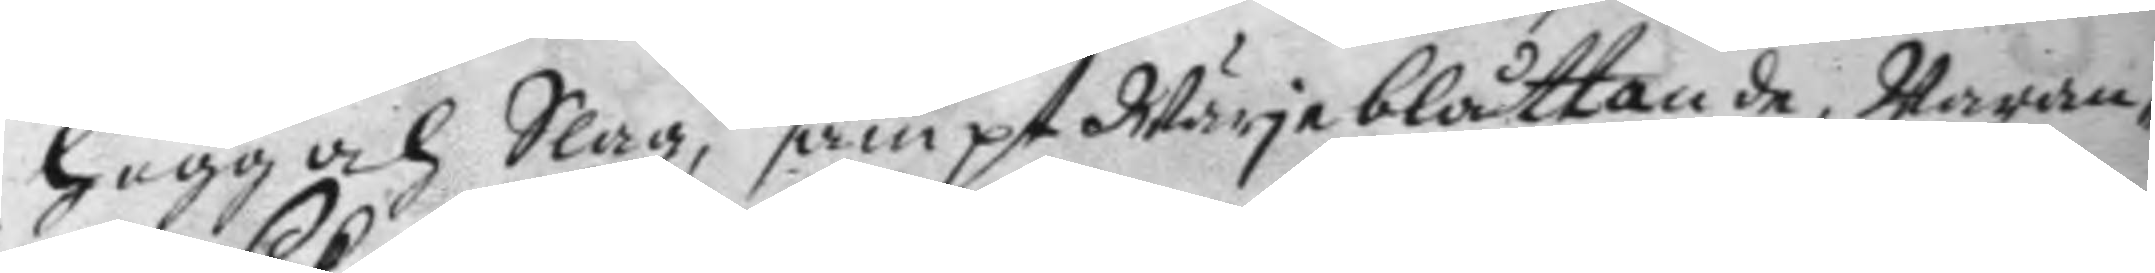hugg och Slag, sampt Wärje blåttande, Waran¬
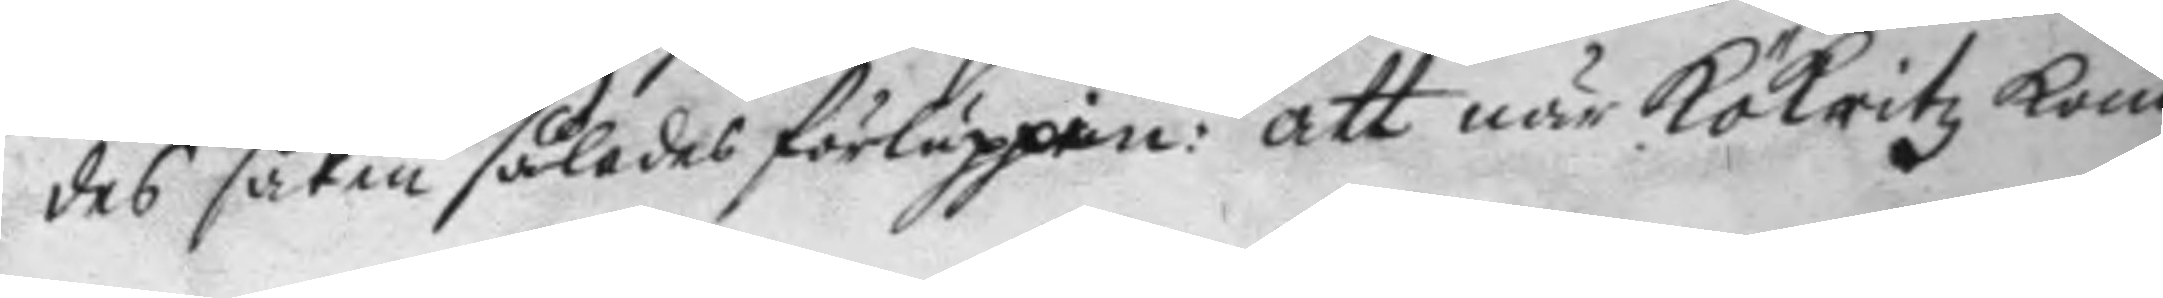des saken således förluppin: att när Kökritz kom
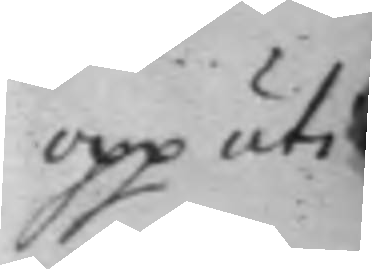opp uti
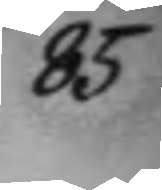85
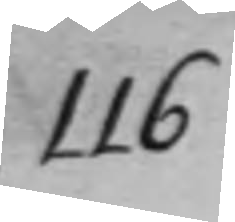116
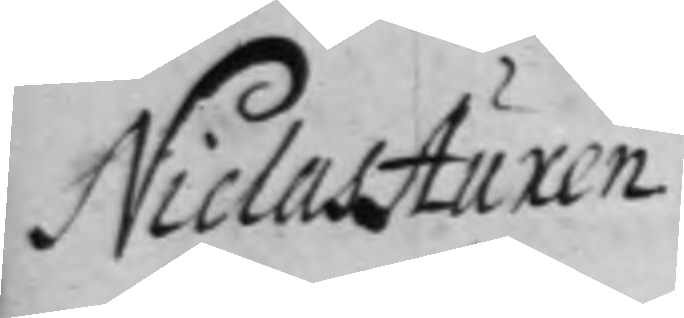Niclas Auxen.
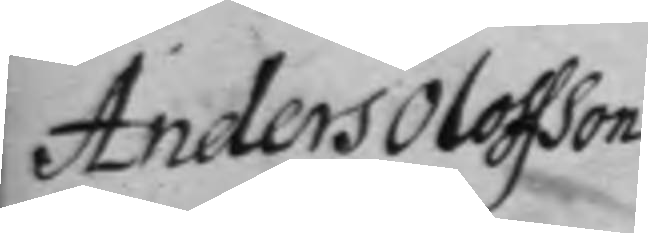Anders Oloffson
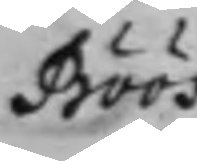Böös
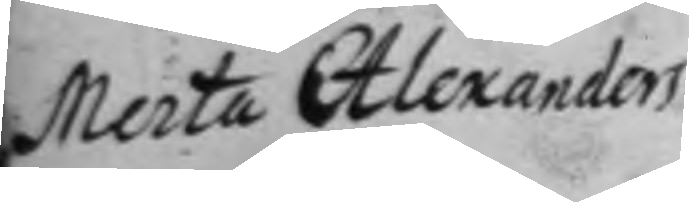Marta Alexanders¬
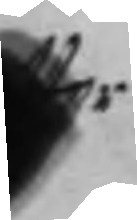tter
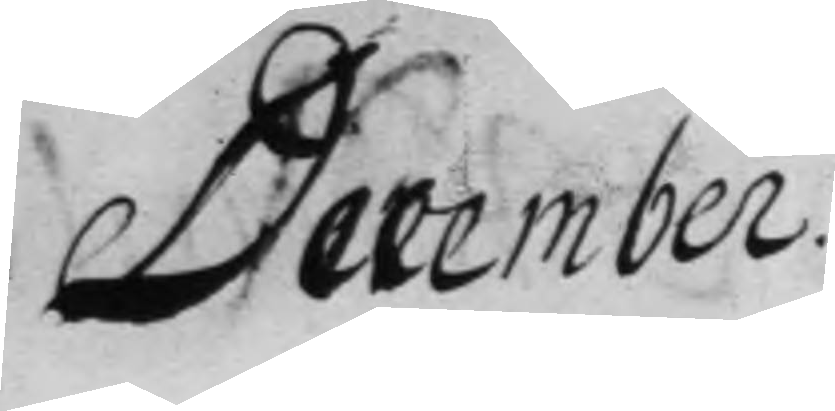December
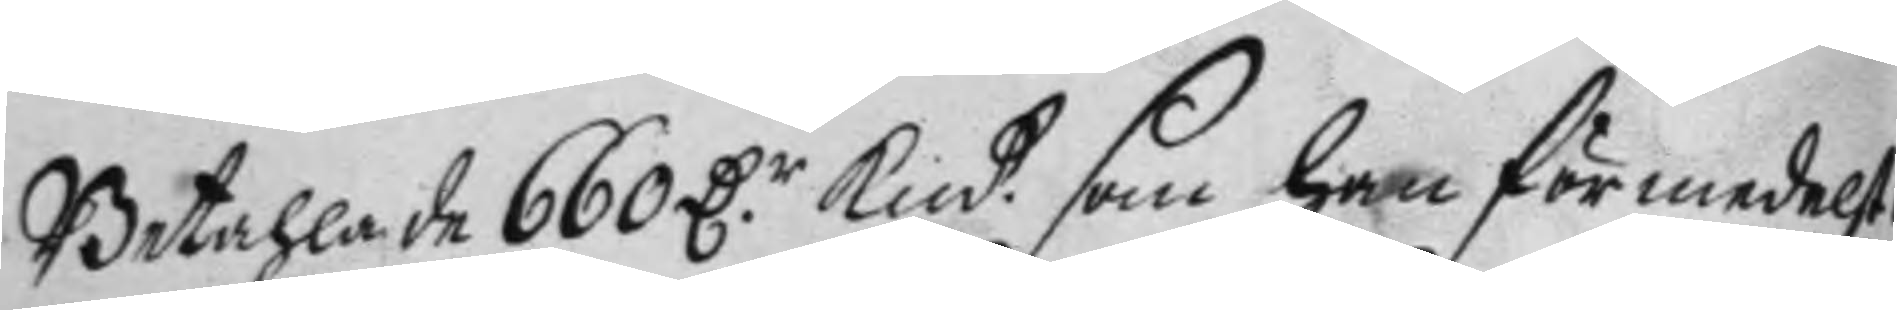Betahlade de 660 D.r Kmtt. som han förmedelst
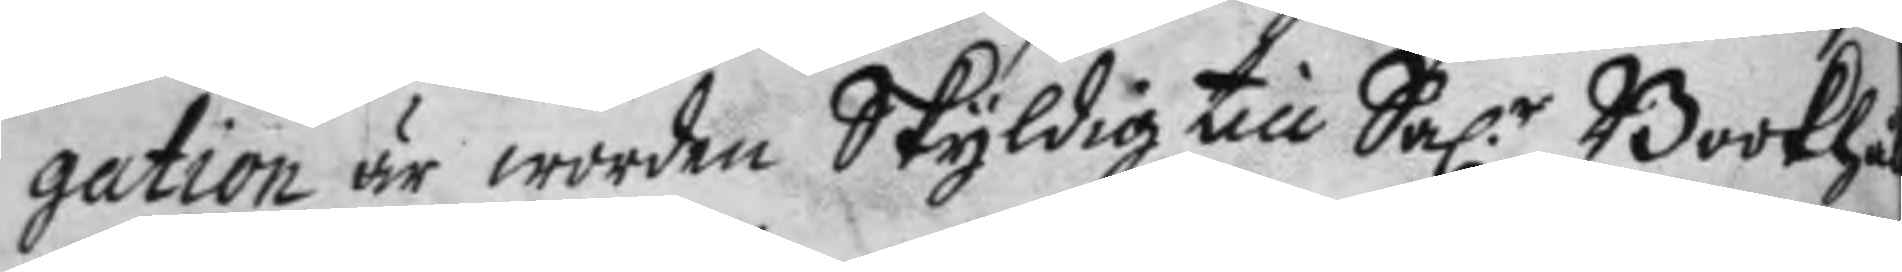gation är worden Skyldig till Sal.r Bookhål¬
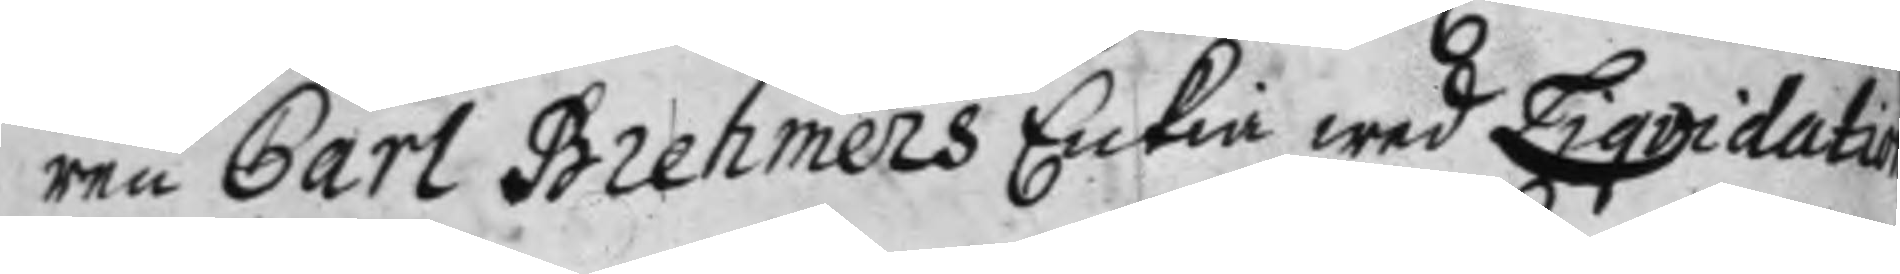ren Carl Brehemers Enkia wed Liqvidation
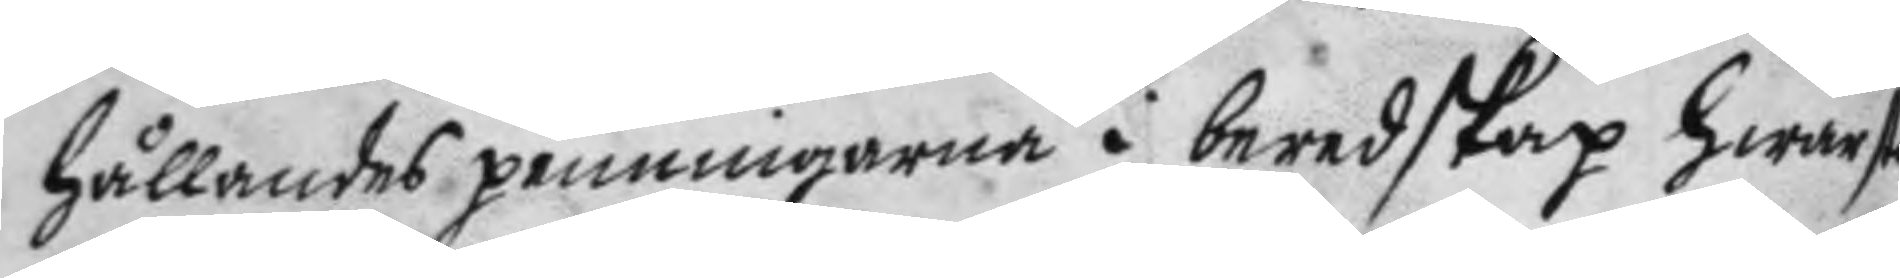hållandes penningarna i beredskap hwar st
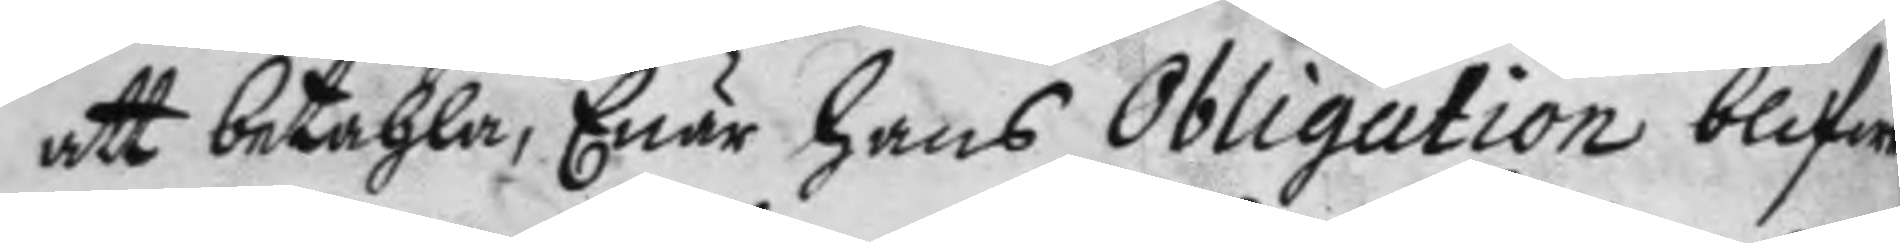att betahla, Enär hans Obligation blifwer
